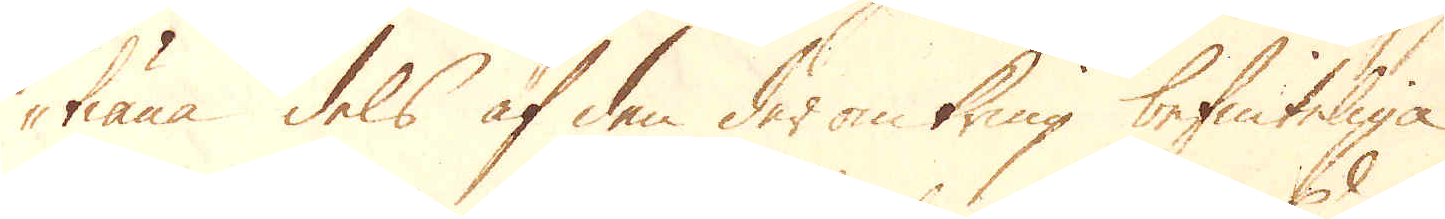tiäna dels af den därom kring befinteliga
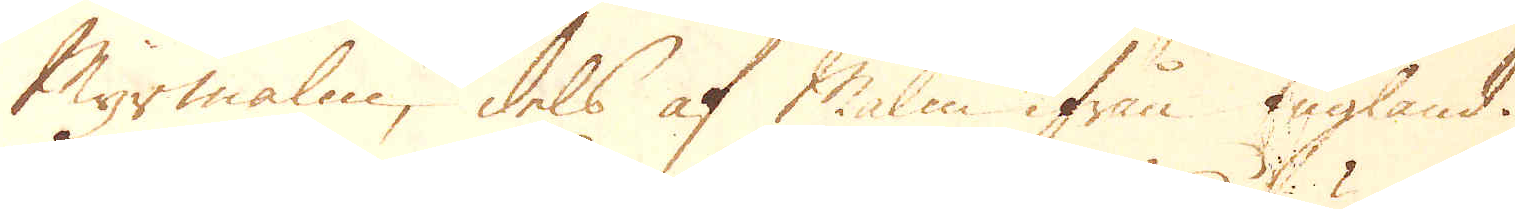Myrmalm, dels af Malm ifrån England.
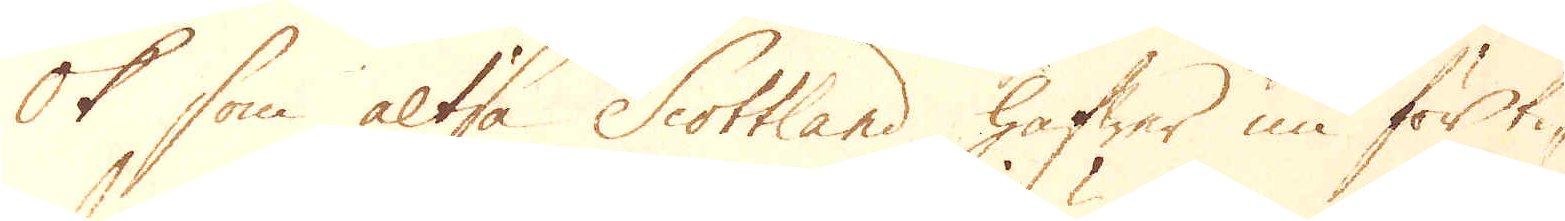Ok som altså Scottland hafwer nu förti-
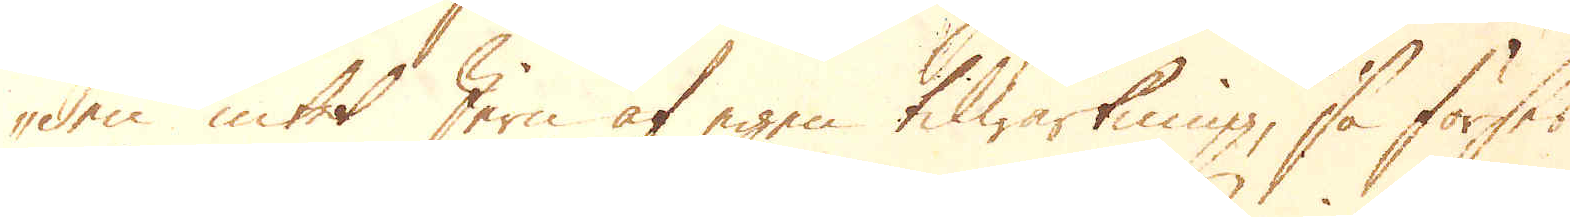den intet Jern af egen tilwärkning, så förses
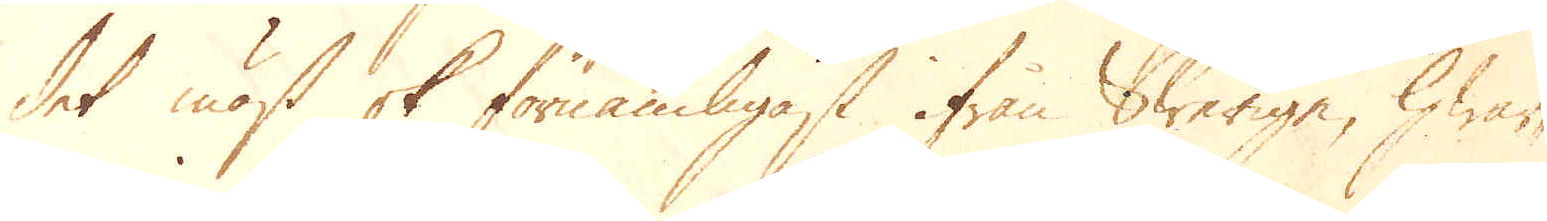det mäst ok förnämligast ifrån Swerige, hwar-
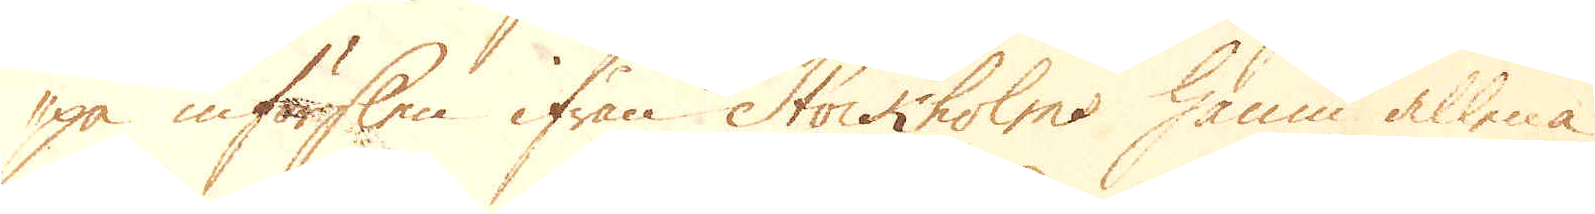på införslen ifrån Stockholms hamn allena
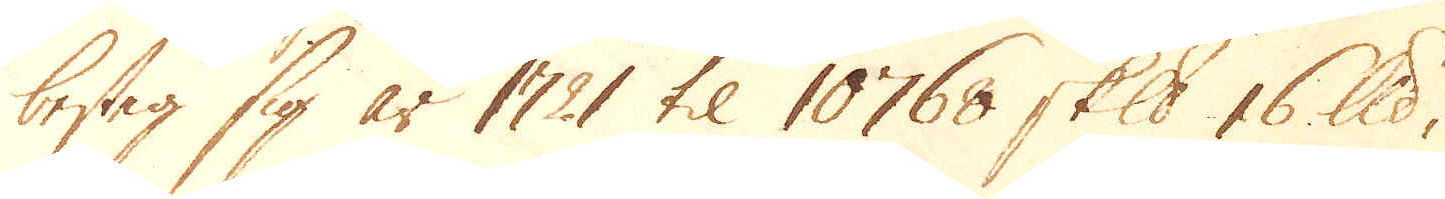besteg sig år 1721 til 10768 skeppund 16 lispund,
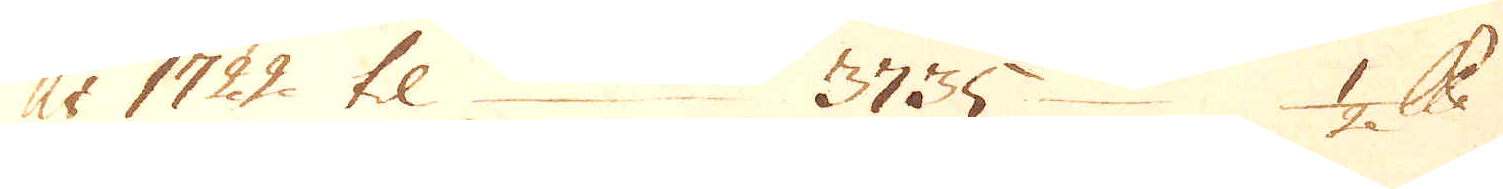År 1722 til 3735 1/2 lispund
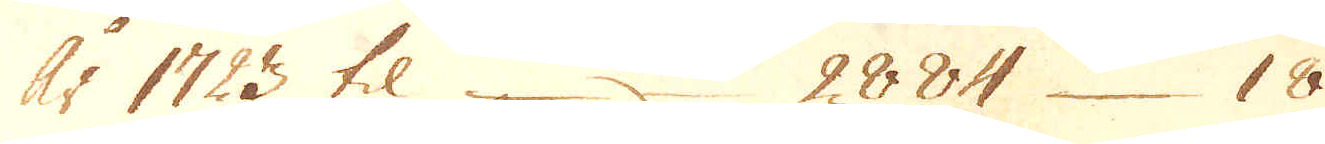År 1723 til 2884 18
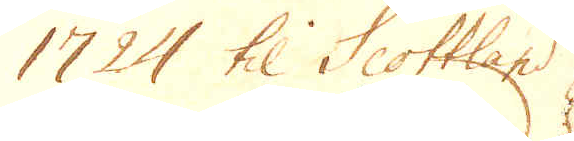1724 til Scottland
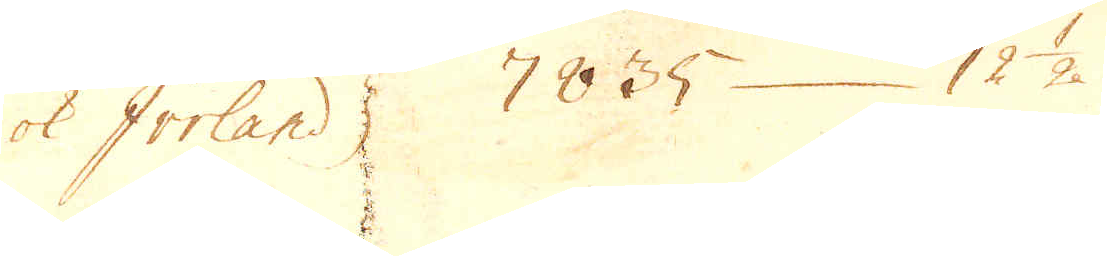ok Iriland 7835 12 1/2
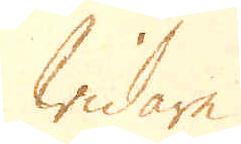widare
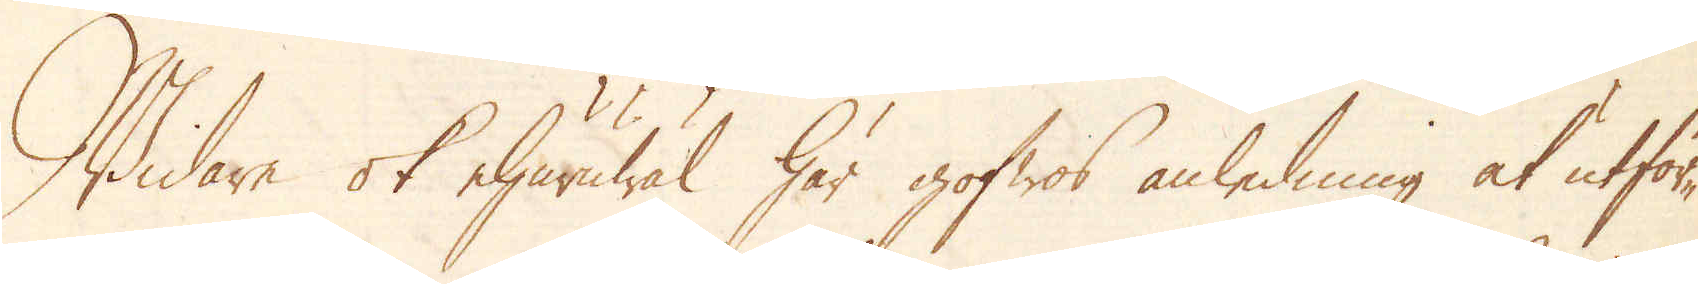Widare ok ehuruwäl gofwos anledning at utför-
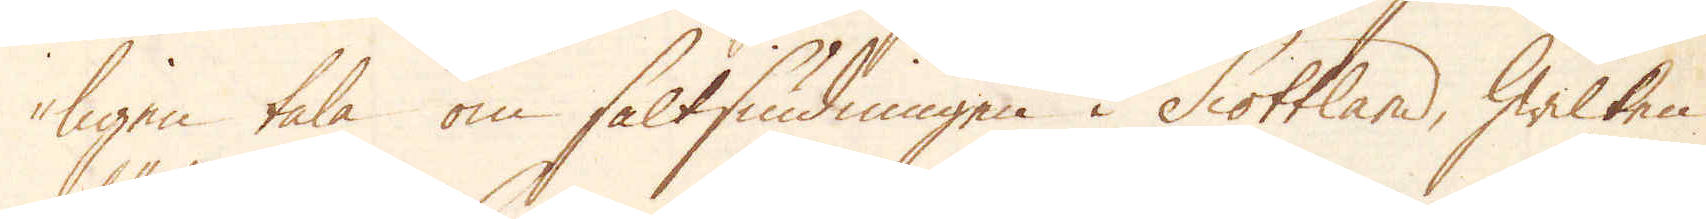ligen tala om saltsiudningen i Scottland, hwilken
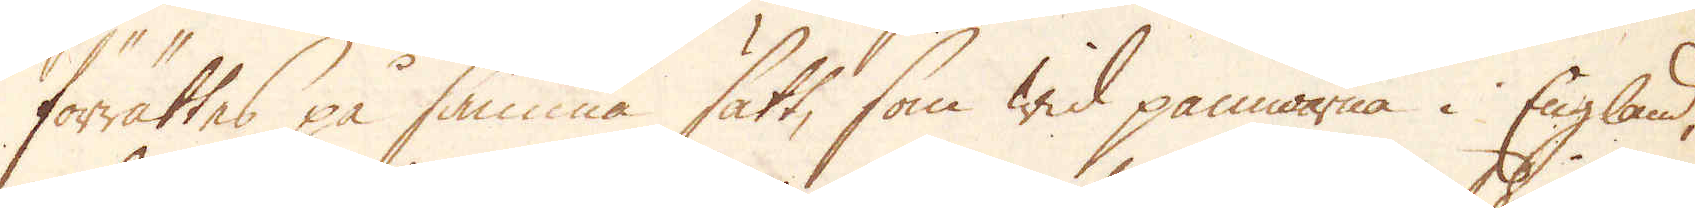förrättes på samma sätt, som wid pannorne i England,
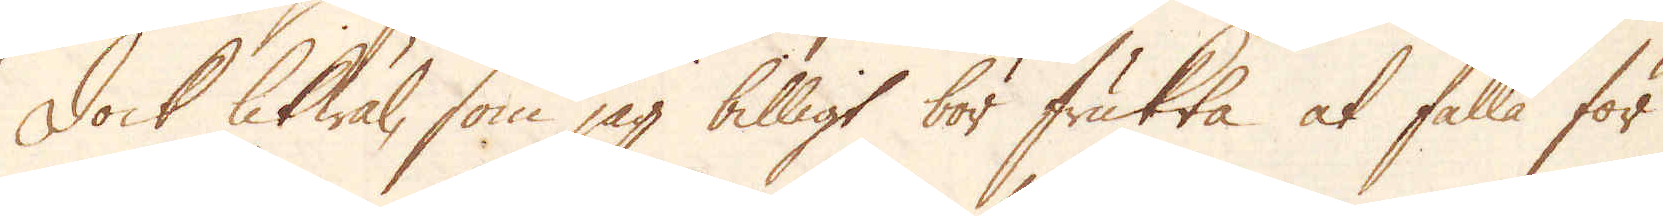Dock likwäl, som jag billigt bör frukta at falla för
